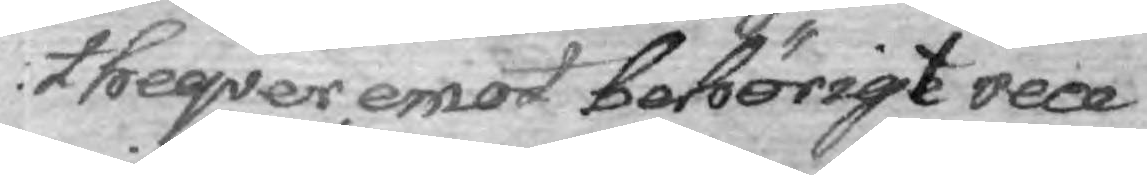theqver emot behörigt rece¬
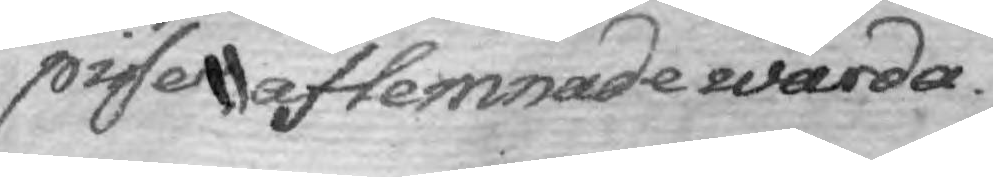pisser aflemnade warda.
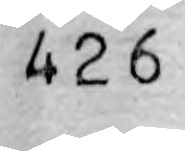426
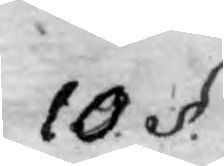10. §.
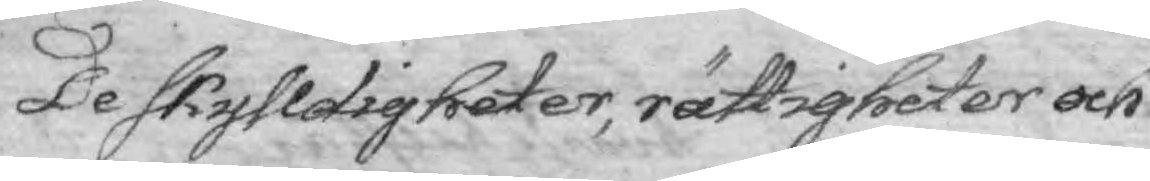De skyldigheter, rättigheter och
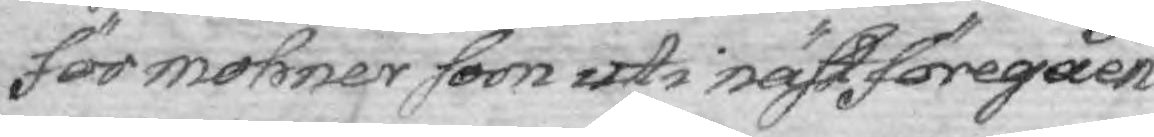för mohner som uti näst föregåen¬
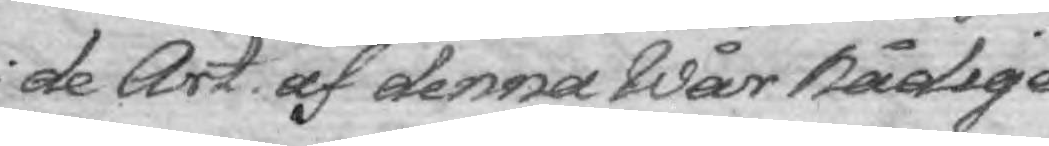de Art. af denna Wår Nådige
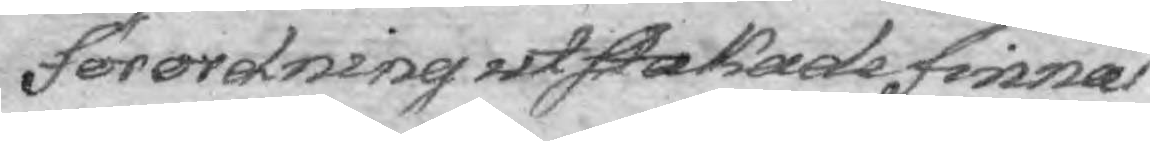förordning utskakade finnas
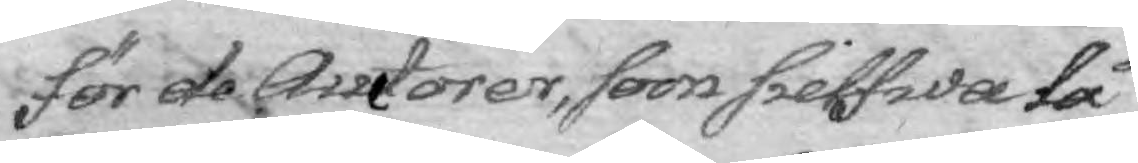för de Auctorer, som sielfwa låt¬
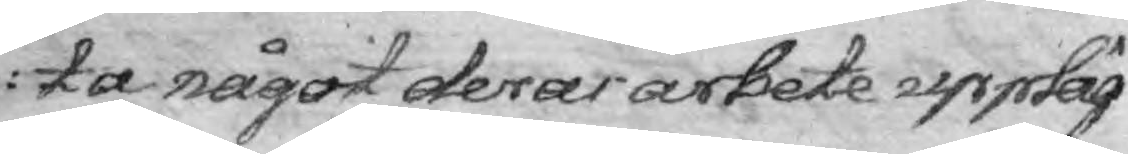ta något deras arbete uppläg¬
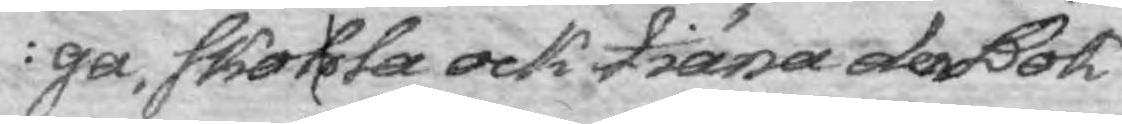ga, skohla ock tiäna den Bok¬
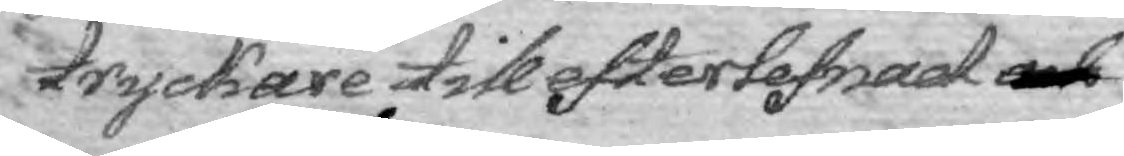tryckare till efterlefnad och
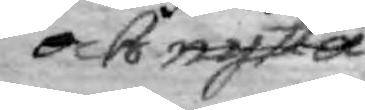och nytta
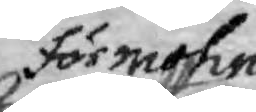För mohn
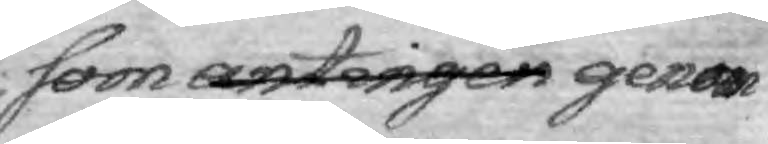som antingen genom
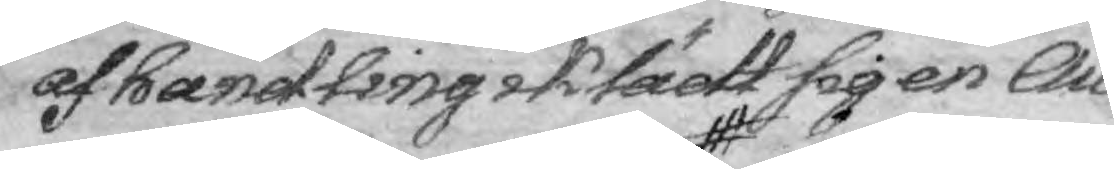af handling iklädt sig en Au¬
